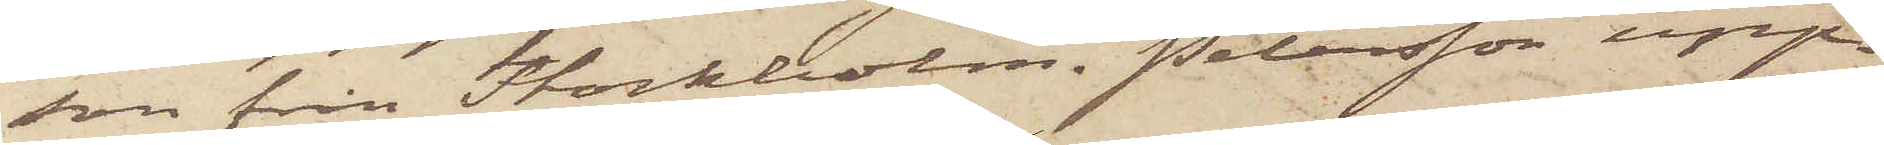son från Stockholm. Petersson upp¬
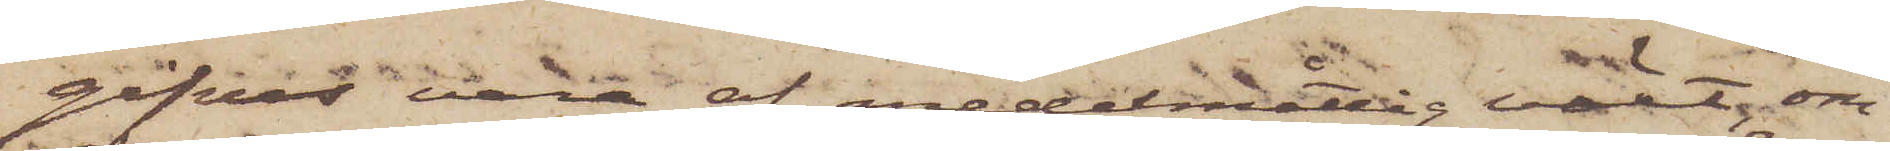gifves vara af medelmåttig växt, om¬
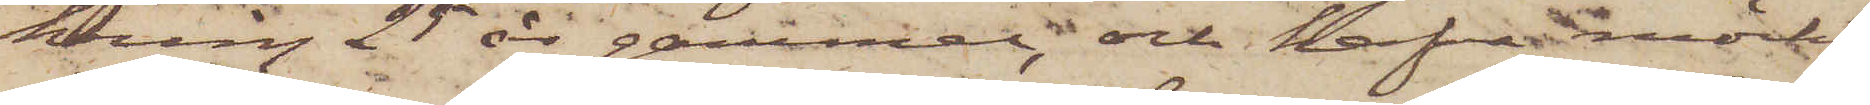kring 25 år gammal, och hafva mörkt
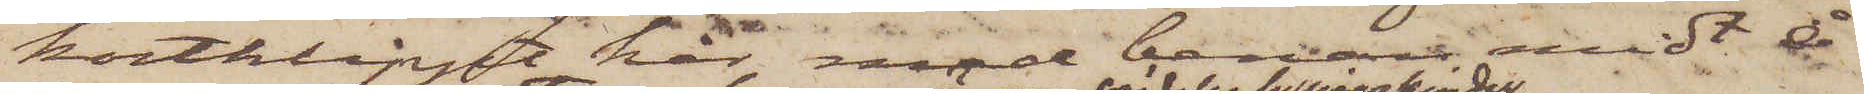kortklippt hår med benan midt å
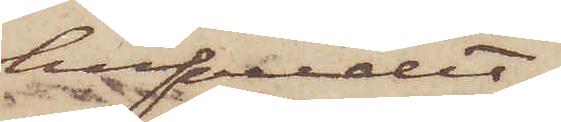hufvudet,
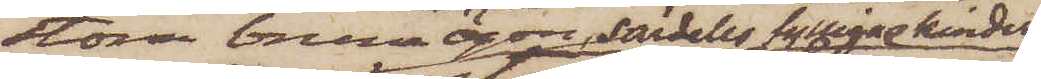stora bruna ögon, särdeles fylliga kinder
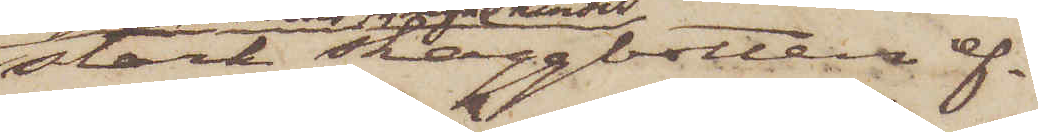stark skäggbotten ef¬
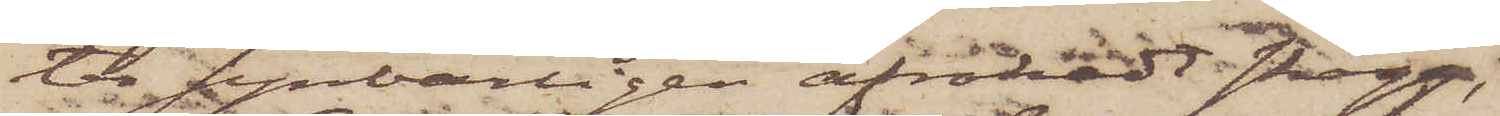ter synbarligen afrakadt skägg,
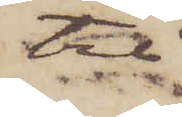tre
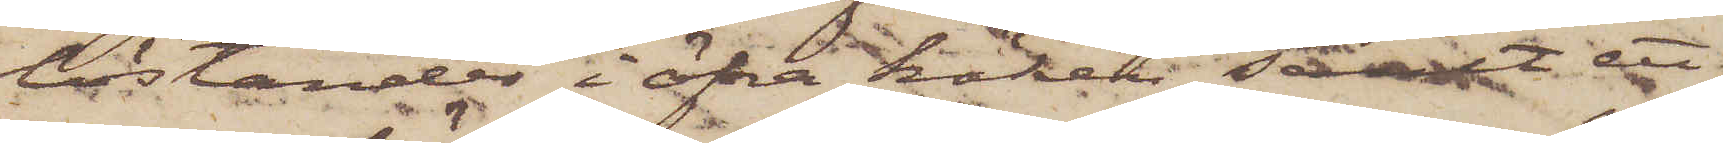löständer i öfra käken samt ett
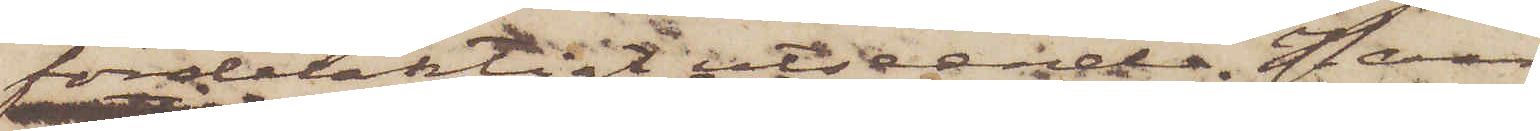fördelaktigt utseende. Han
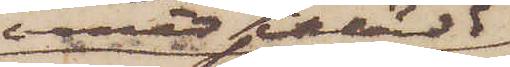varit ikädd
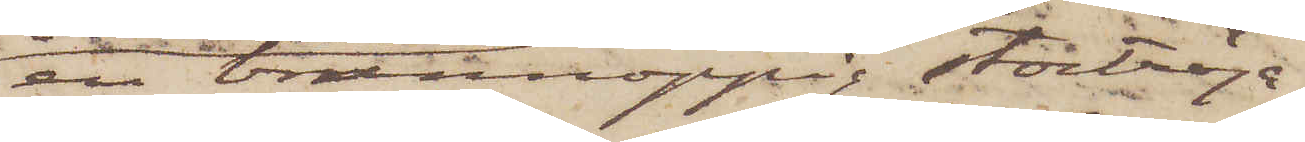en brunnoppig stortröja
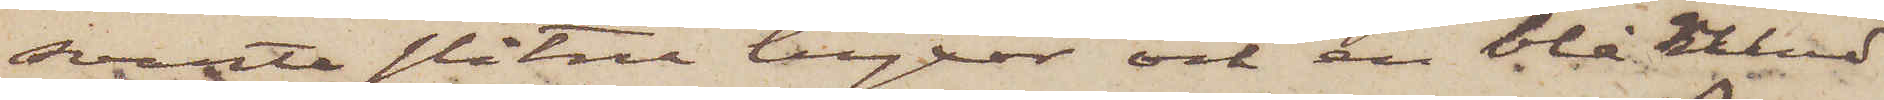svarta slitne byxor och en blå rund
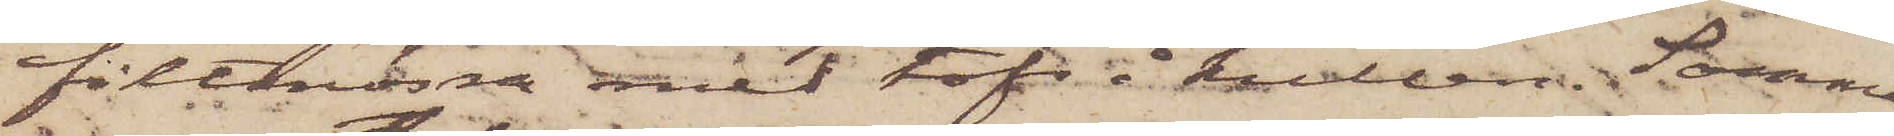filtmössa med tofs i kullen. Samma
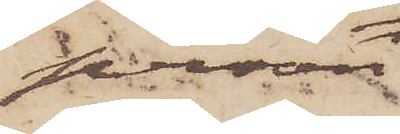person
